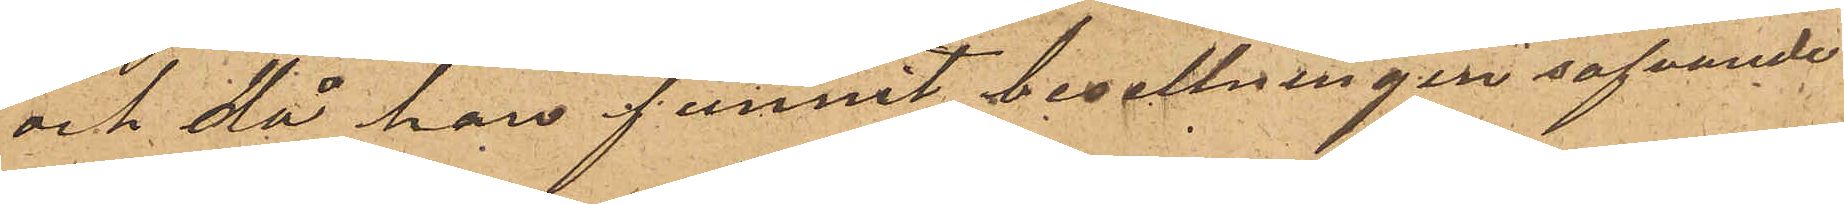och då han funnit besettningen sofvande
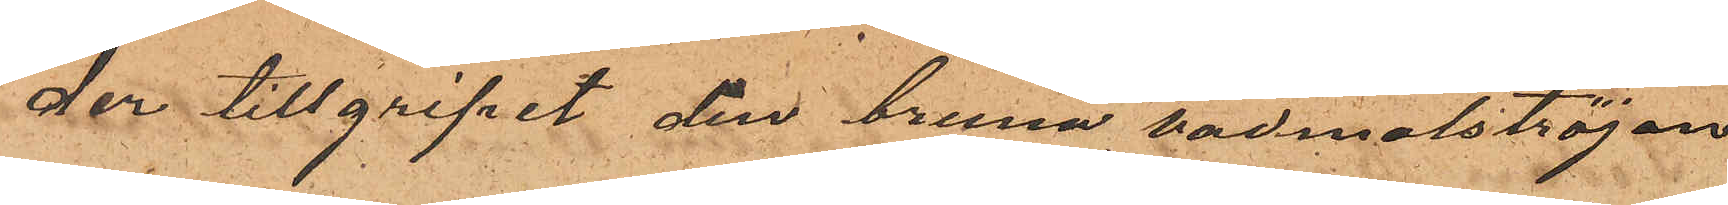der tillgripit den bruna vadmalströjan
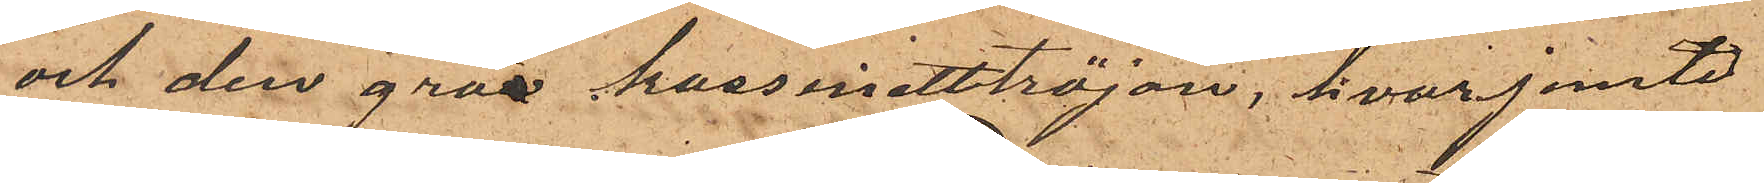och den gråa kassinetttröjan, hvarjemte
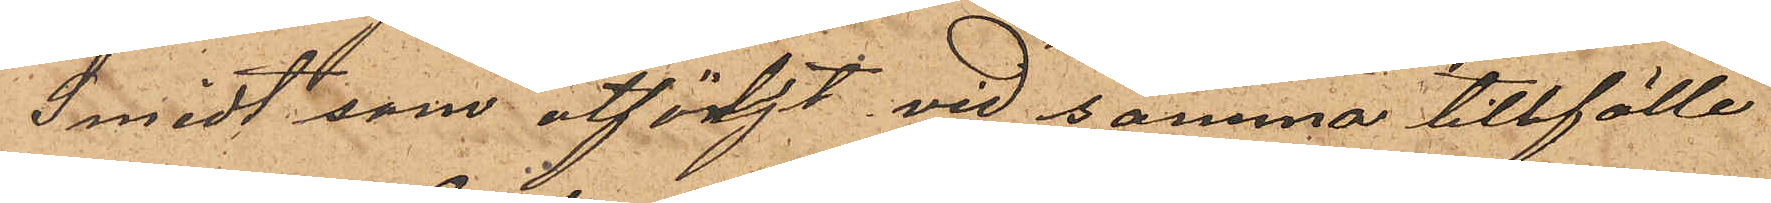Smidt, som åtföljt vid samma tillfälle
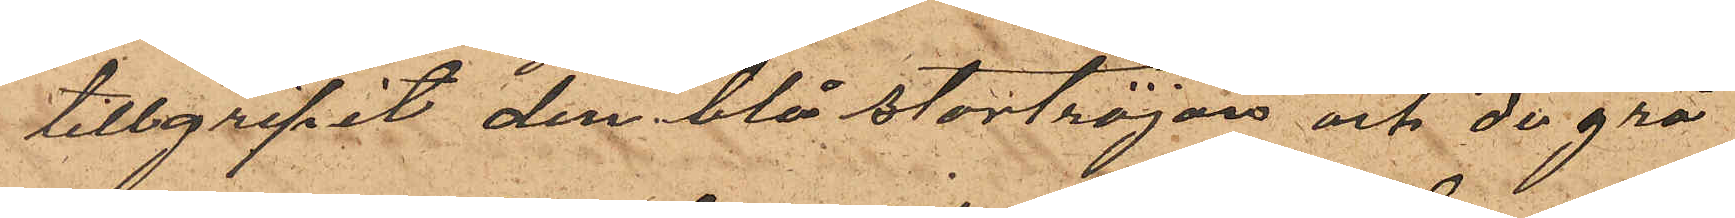tillgripit den blå stortröjan och de grå
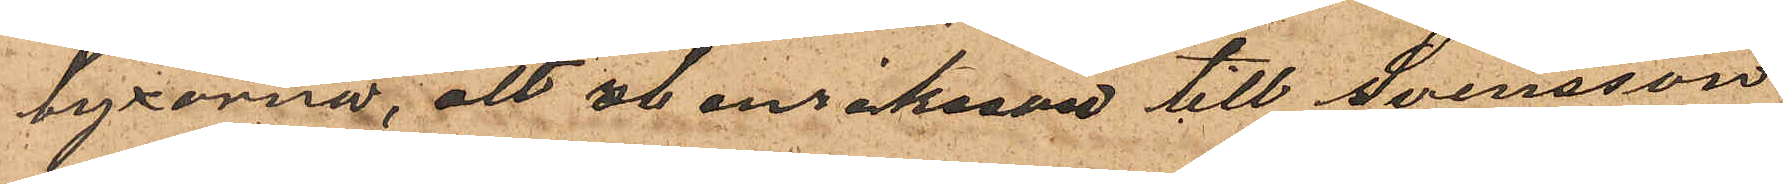byxorna, att Henriksson till Svensson
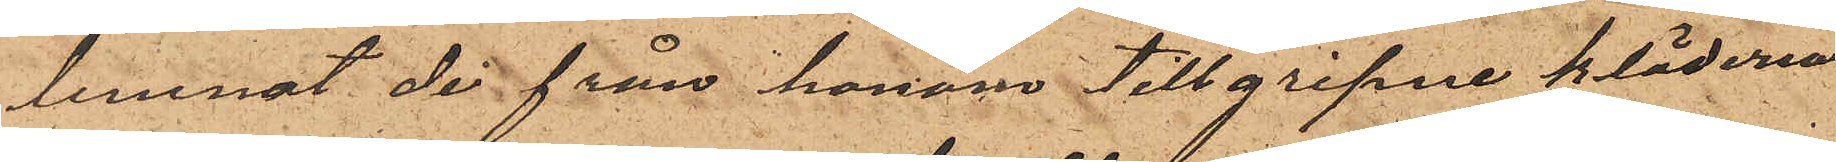lemnat de från honom tillgripne kläderna,
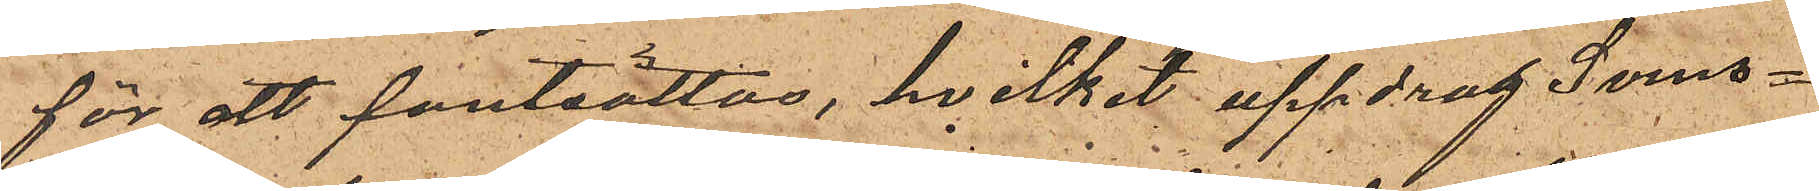för att pantsättas, hvilket uppdrag Svens¬
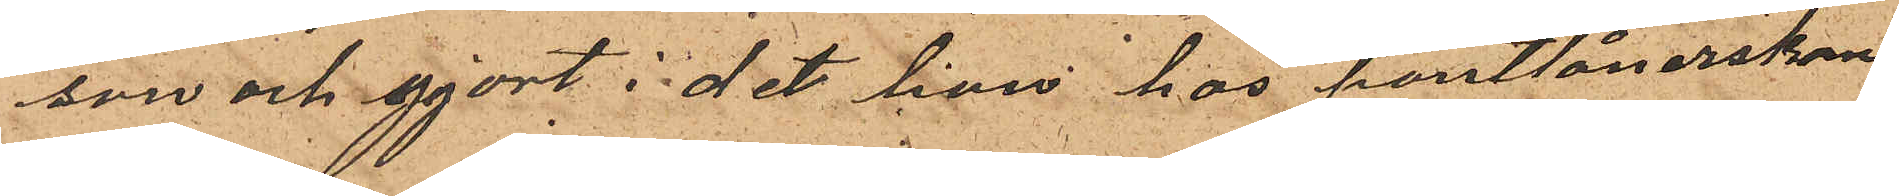son och gjort i det han hos pantlånerskan
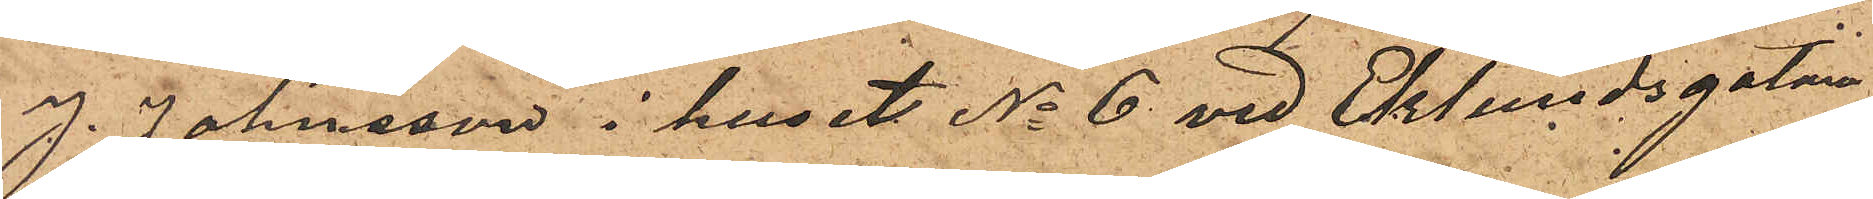J. Johnsson i huset No 6 vid Eklundsgatan
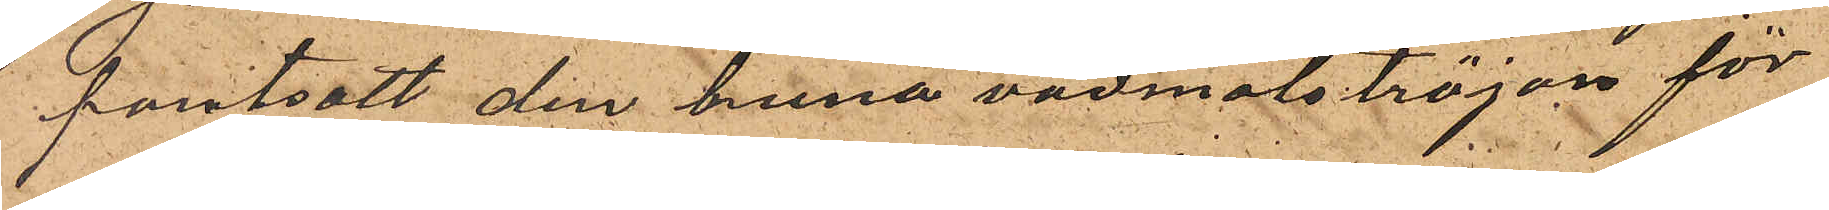pantsatt den bruna vadmalströjan för
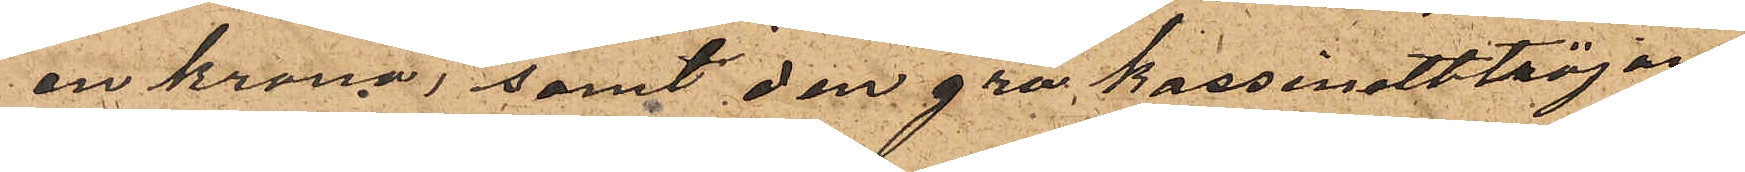en krona, samt den gra kassinetttröjan
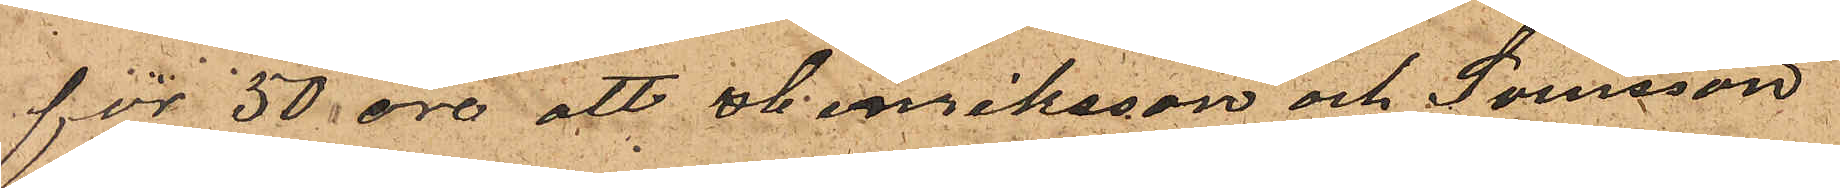för 50 öre, att Henriksson och Svensson
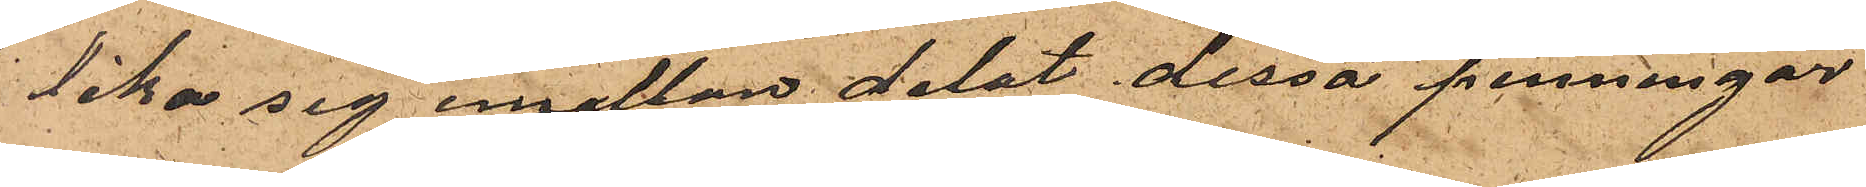lika sig emellan delat dessa penningar
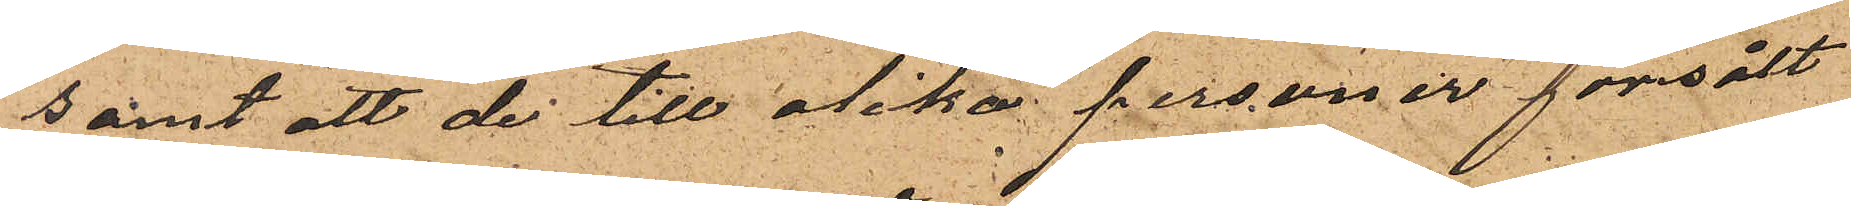samt att de till olika personer försålt
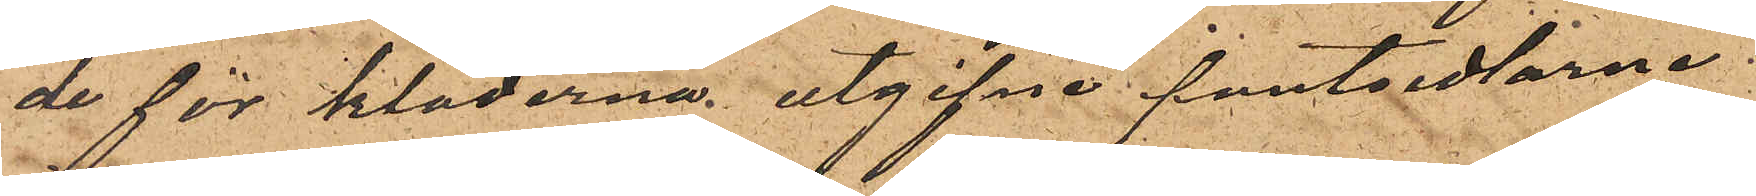de för kläderna utgifna pantsedlarne.
